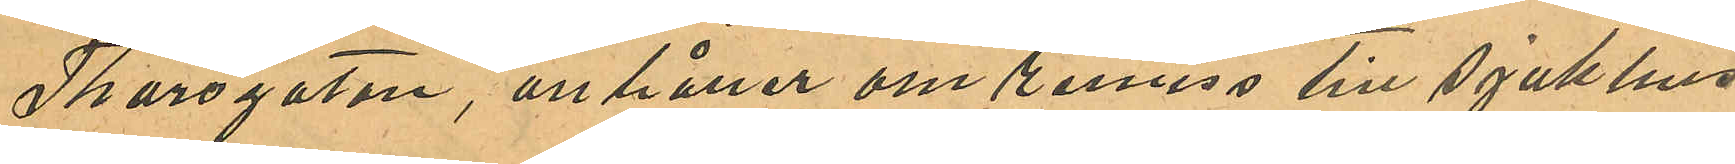Thorsgatan, anhåller om remiss till sjukhus
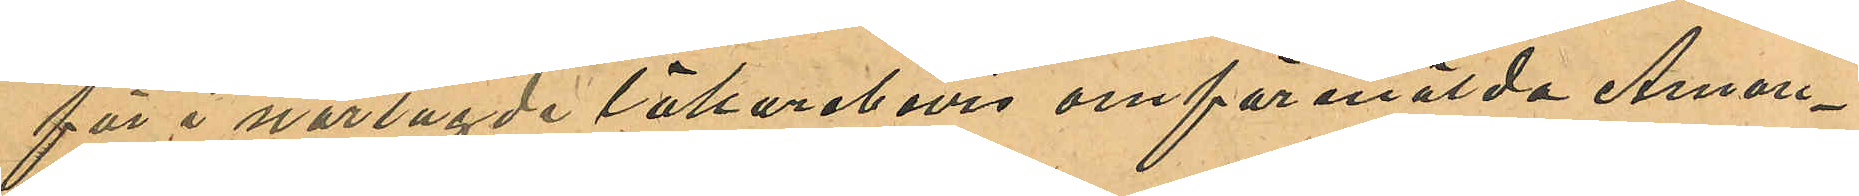för i närlagde läkarebevis omförmälda Aman¬
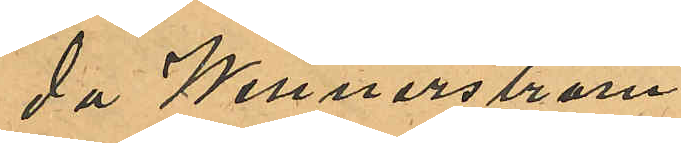da Wennerström.
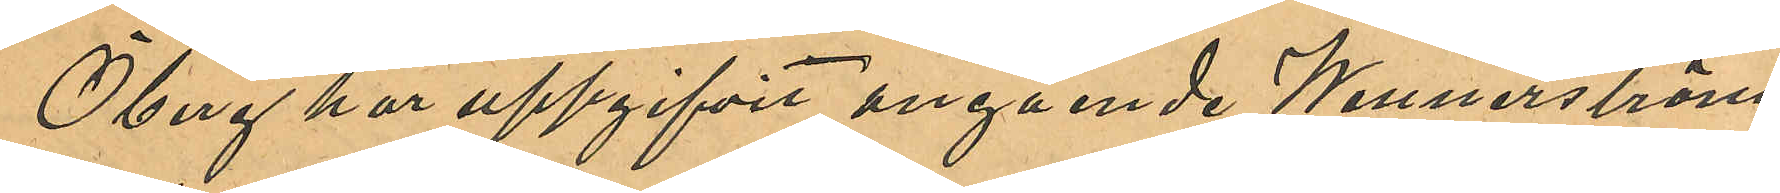Öberg har uppgifvit angående Wennerström,
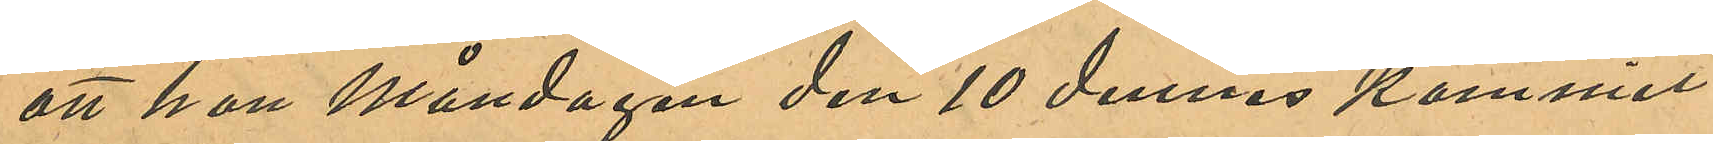att hon Måndagen den 10 dennes kommit
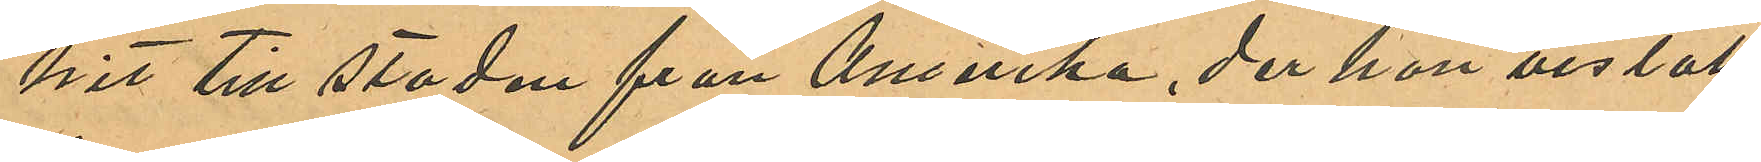hit till staden från Amerika, der hon vistats
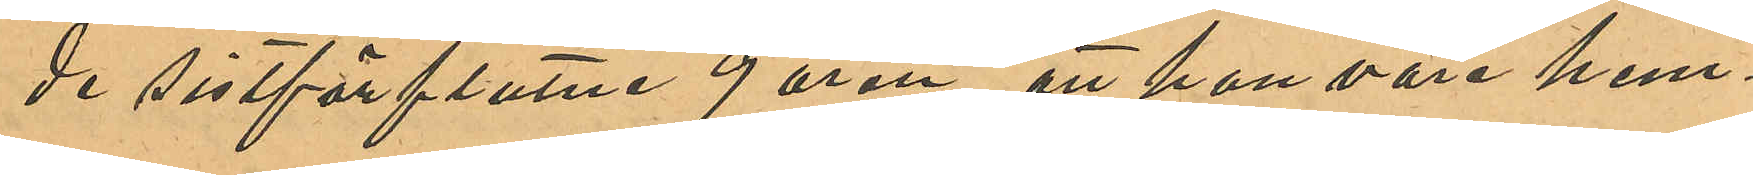de sistförflutne 9 åren, att hon vore hem¬
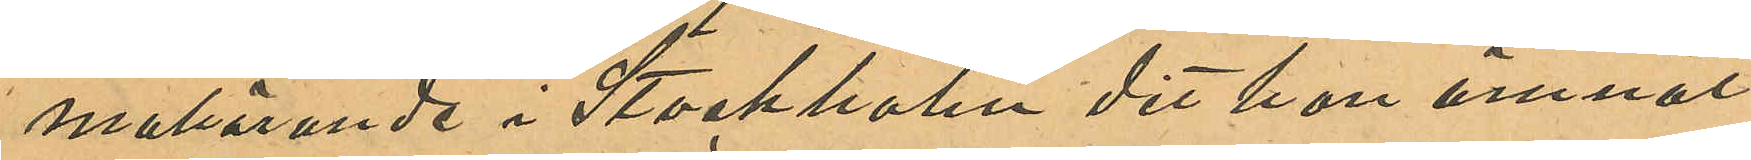malörande i Stockholm dit hon ämnat
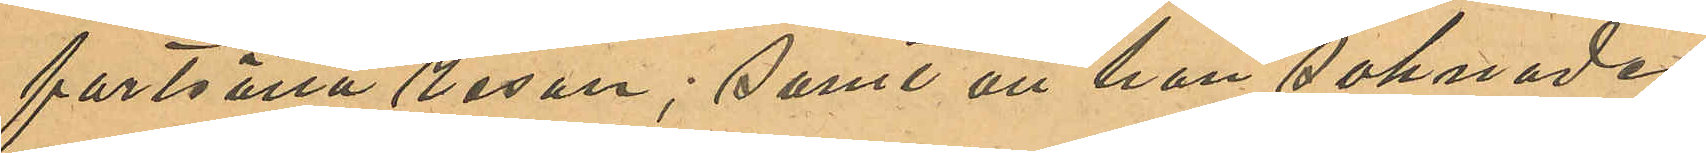fortsätta resan; samt att hon saknade
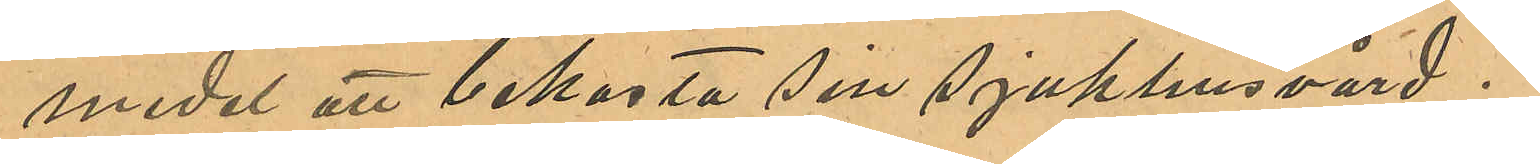medel att bekasta sin Sjukhusvård.
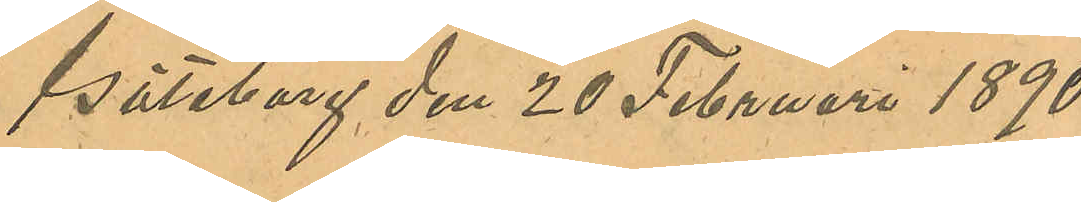Göteborg den 20 Februari 1890.
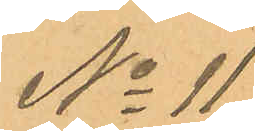No 11
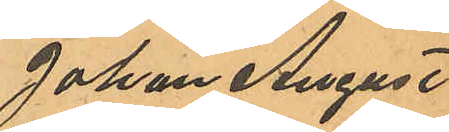Johan August
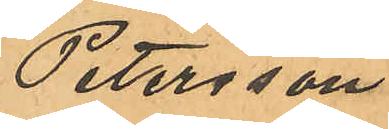Petersson
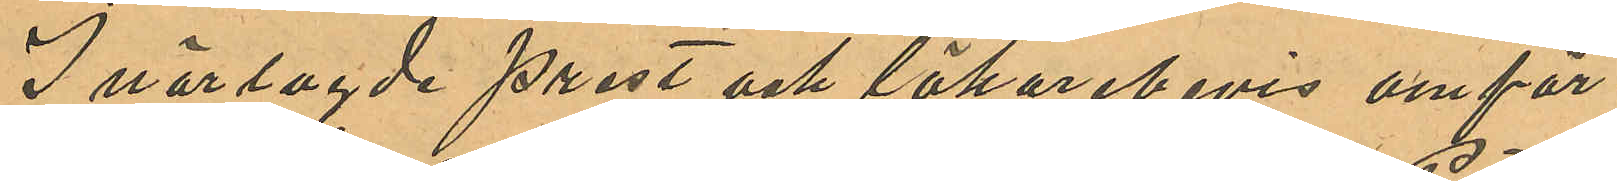I närlagde prest och läkarebevis omför
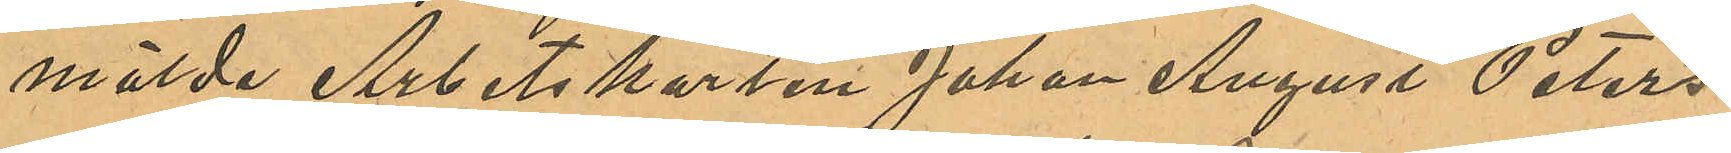mälde Arbetskarlen Johan August Peters¬
